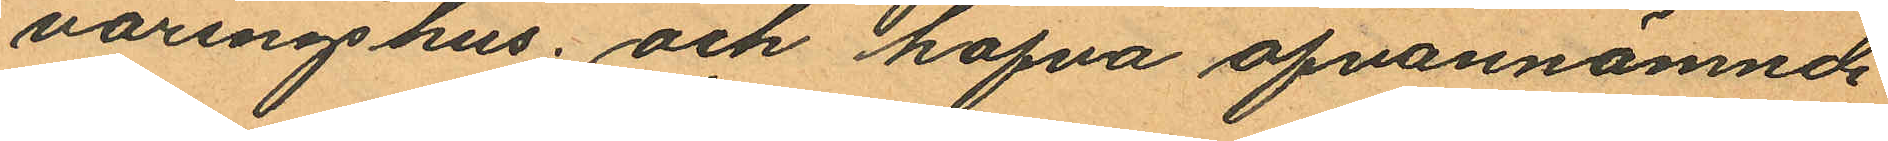varingshus; och hafva ofvannämnde
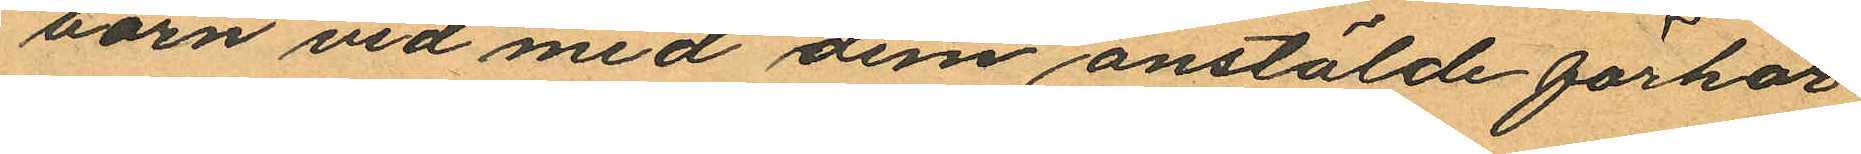barn vid med dem anstälde förhör
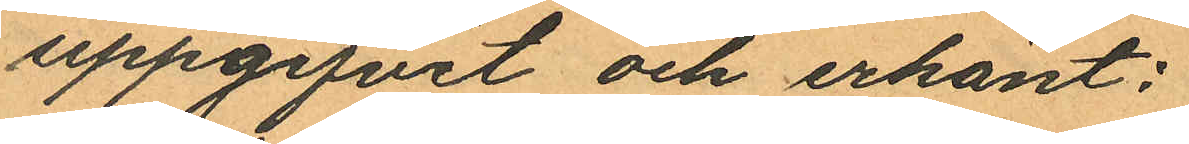uppgifvit och erkänt:
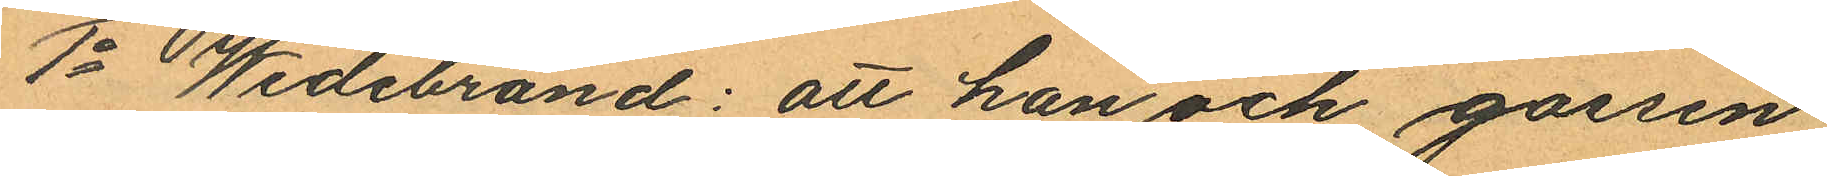1o Wedebrand: att han och gossen
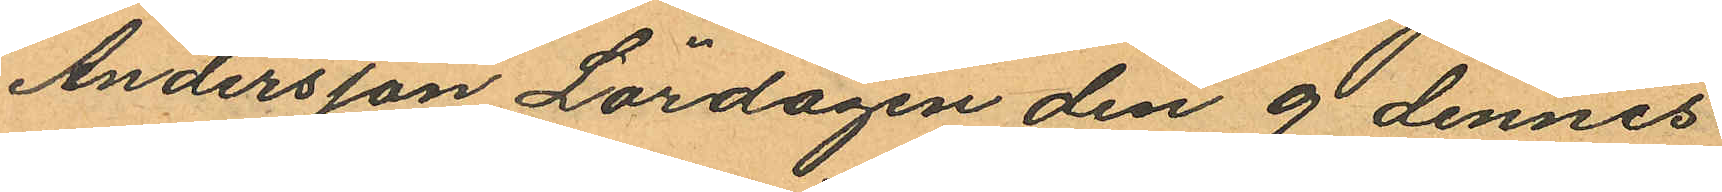Andersson Lördagen den 9 dennes
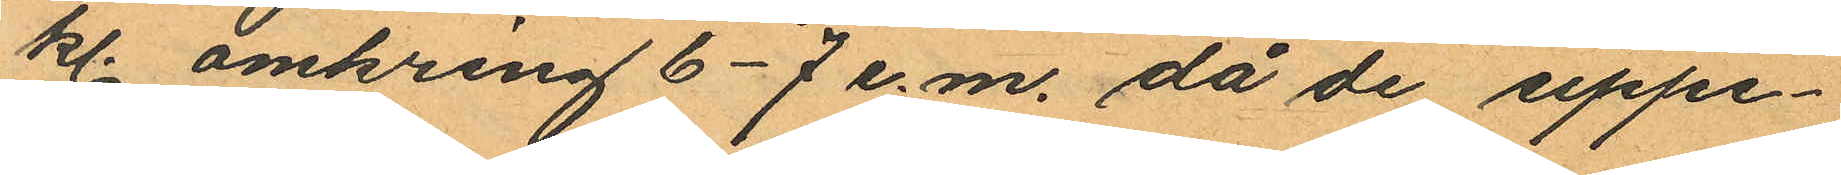kl. omkring 6-7 e.m. då de uppe¬
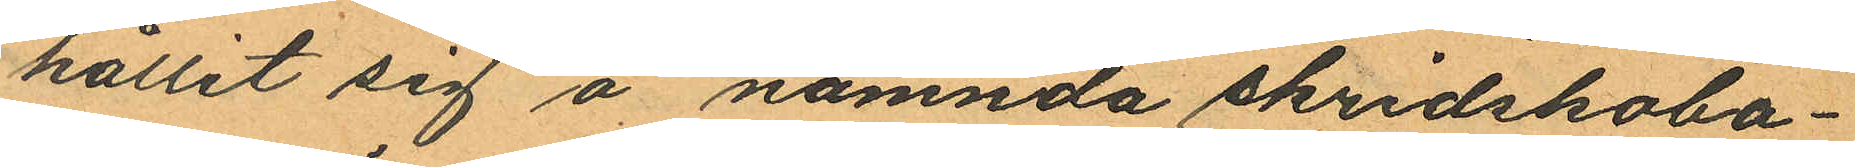hållit sig å nämnda skridskoba¬
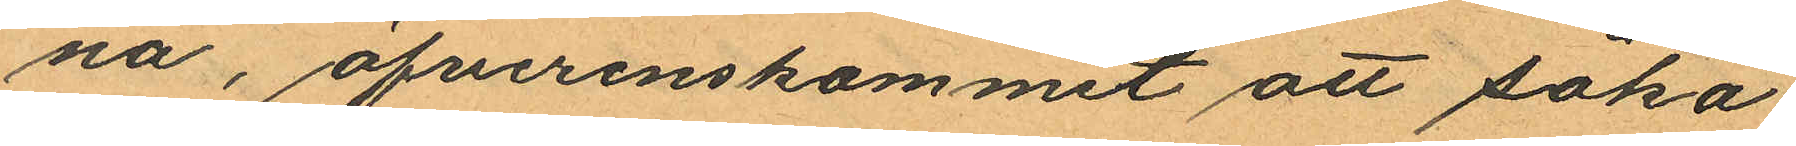na, öfverenskommit att söka
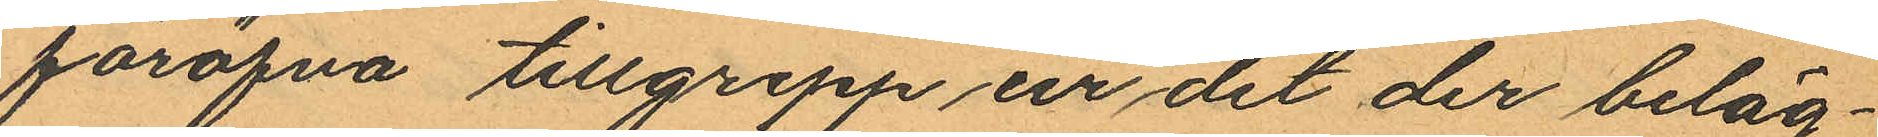föröfva tillgrepp ur det der beläg¬
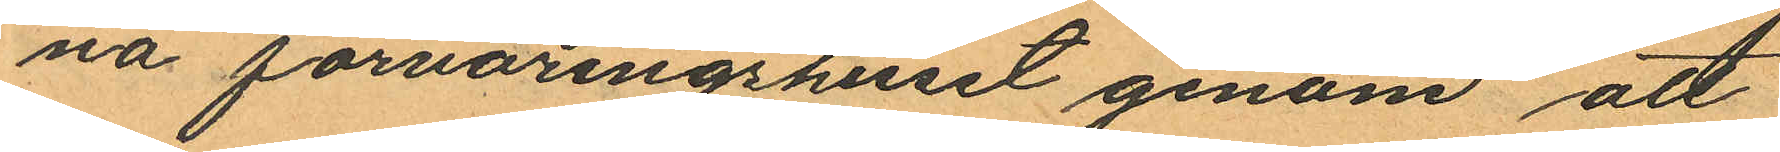na förvaringshuset genom att
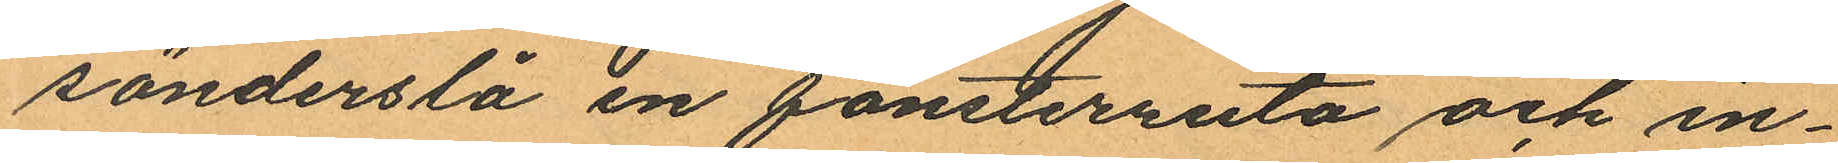sönderslå en fönsterruta och in¬
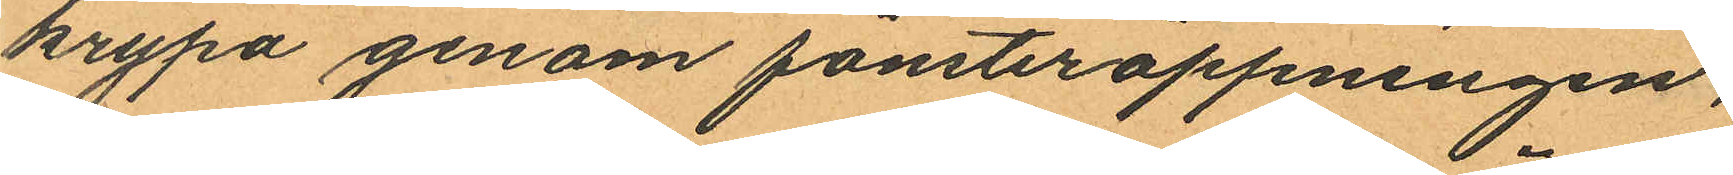krypa genom fönsteröppningen,
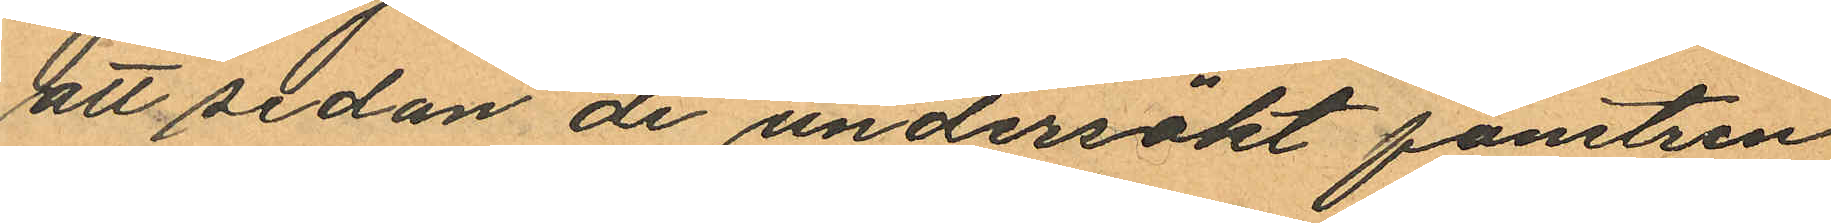att sedan de undersökt fönstren
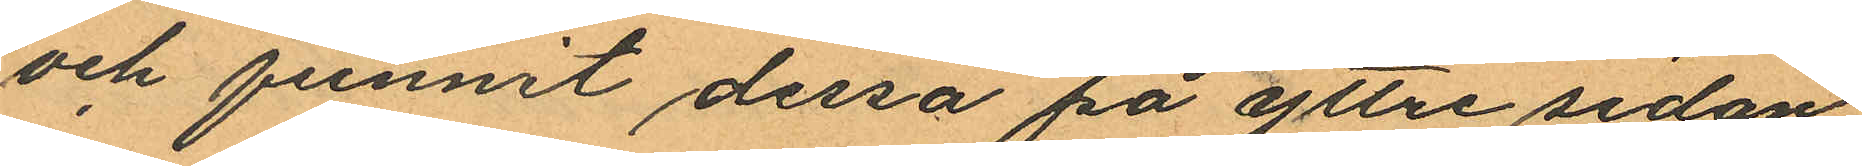och funnit dessa på yttre sidan
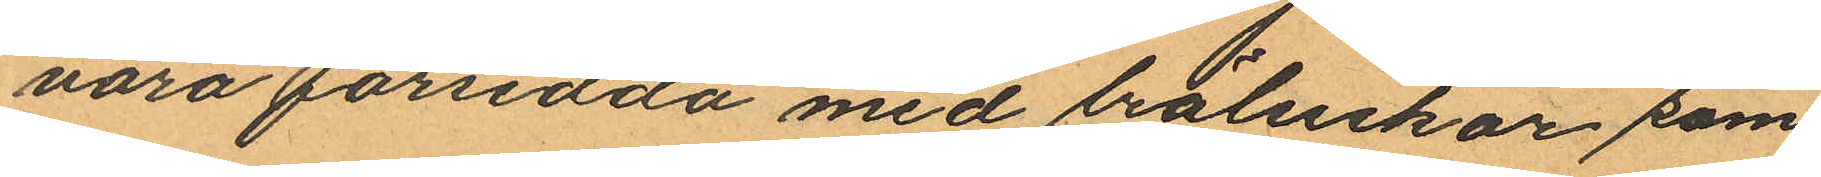vara försedda med lräluckor som
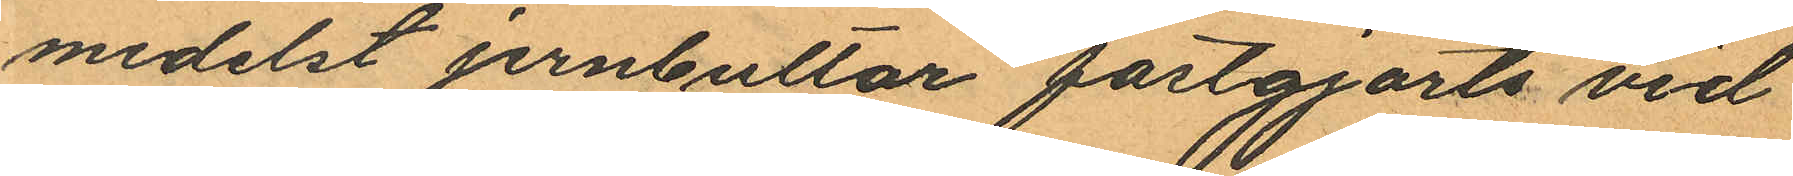medelst jernbultar fastgjorts vid
